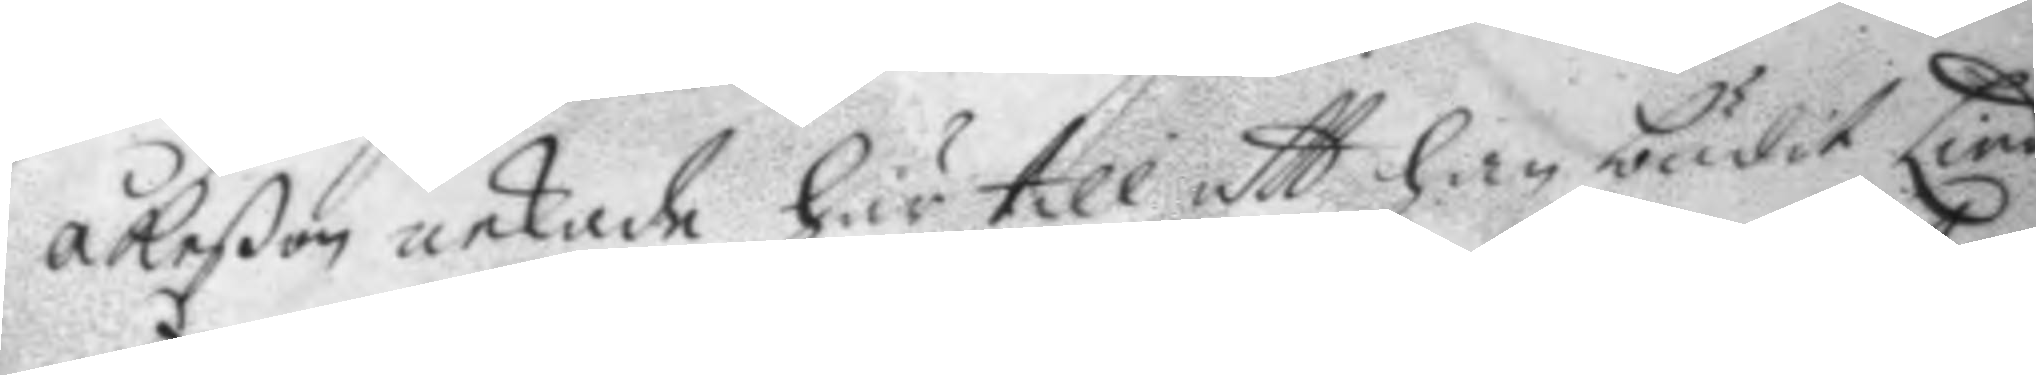åkeßon nekade här till att han budit Lind
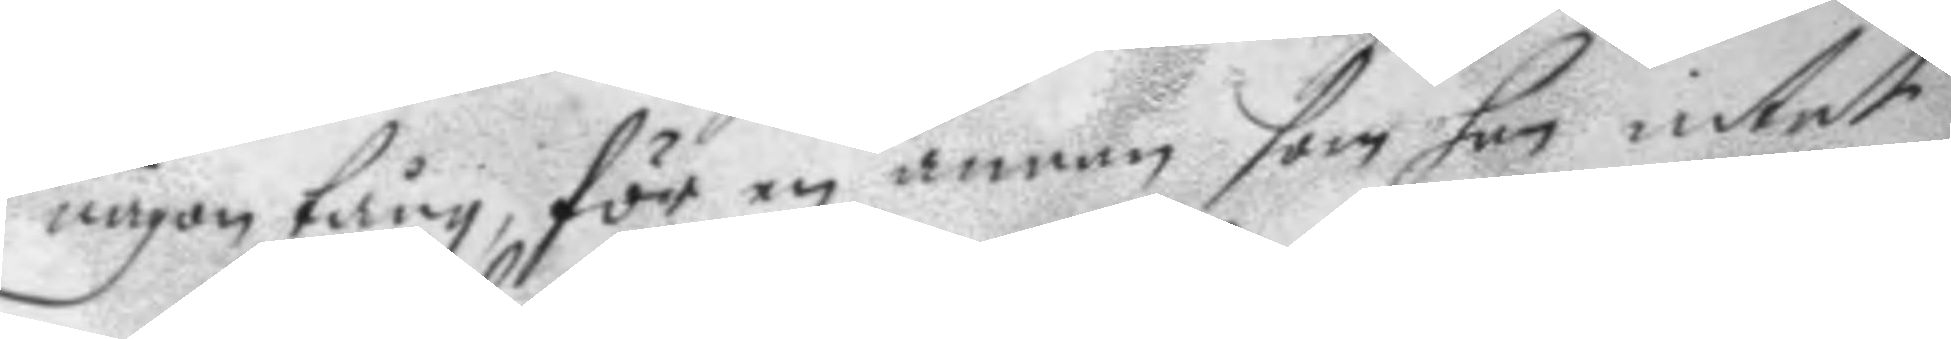någon tång, för en annan som han intet
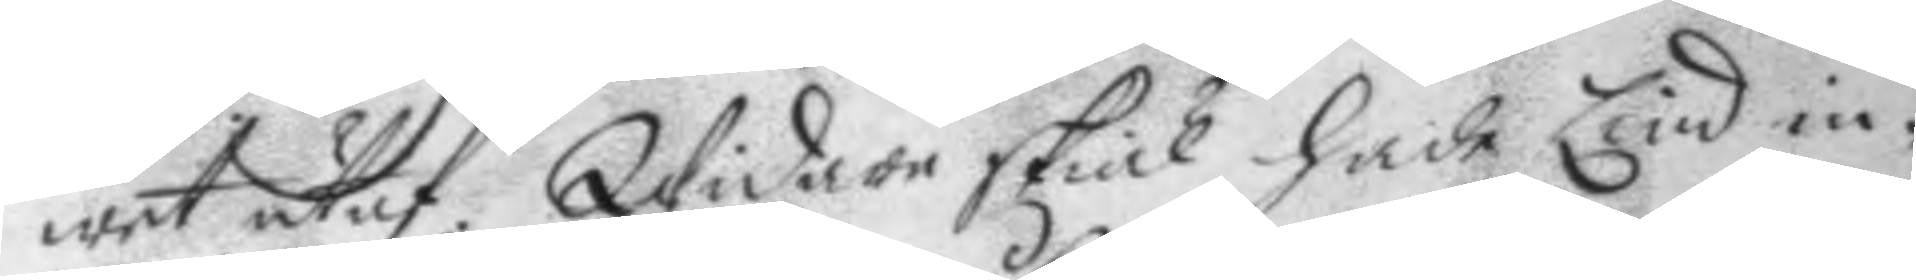wet utaf. Widare skiäl hade Lind in¬
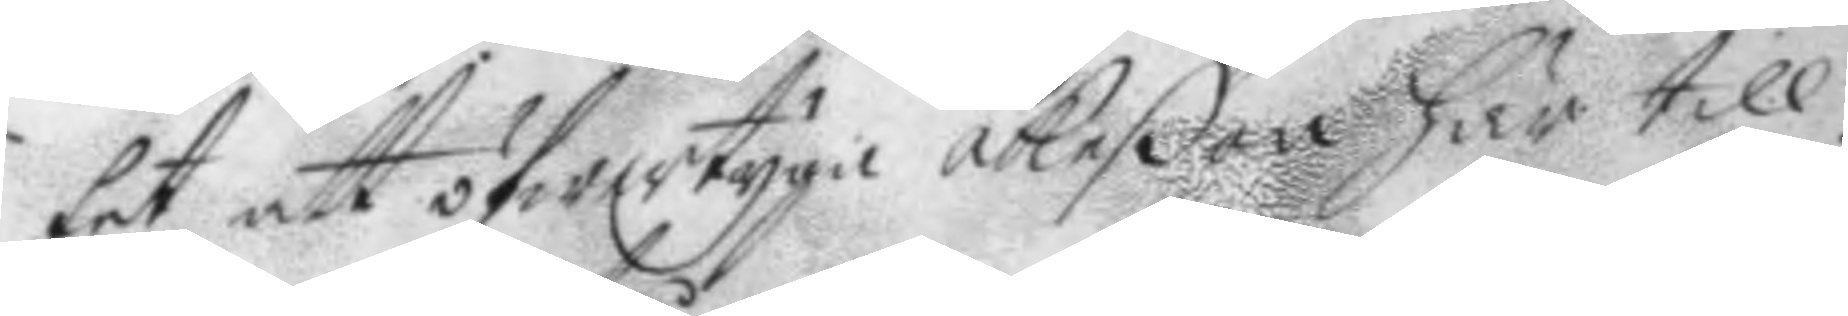tet att öfwertyga åkeßon här till.
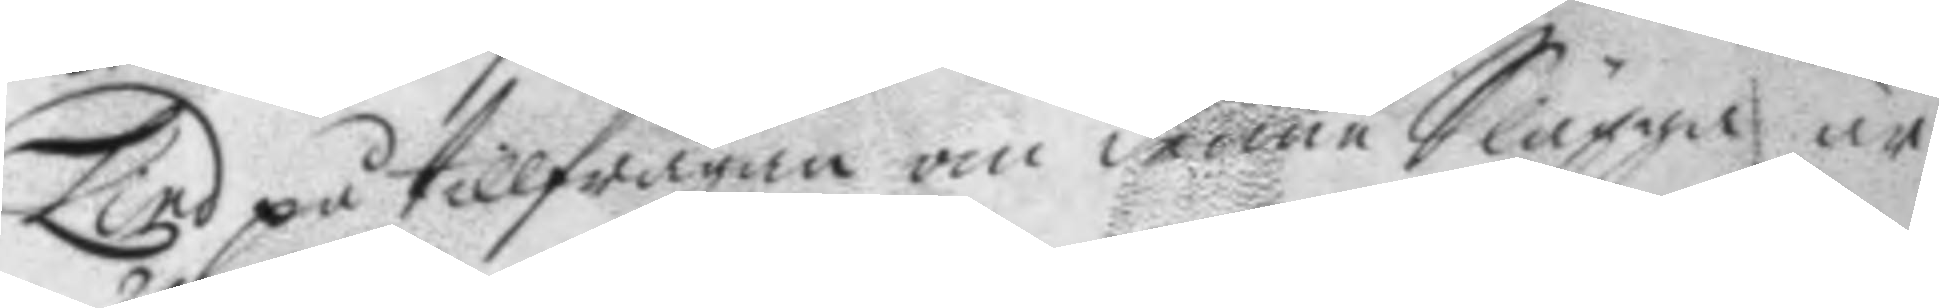Lind på tillfrågan om denne Slägga är 
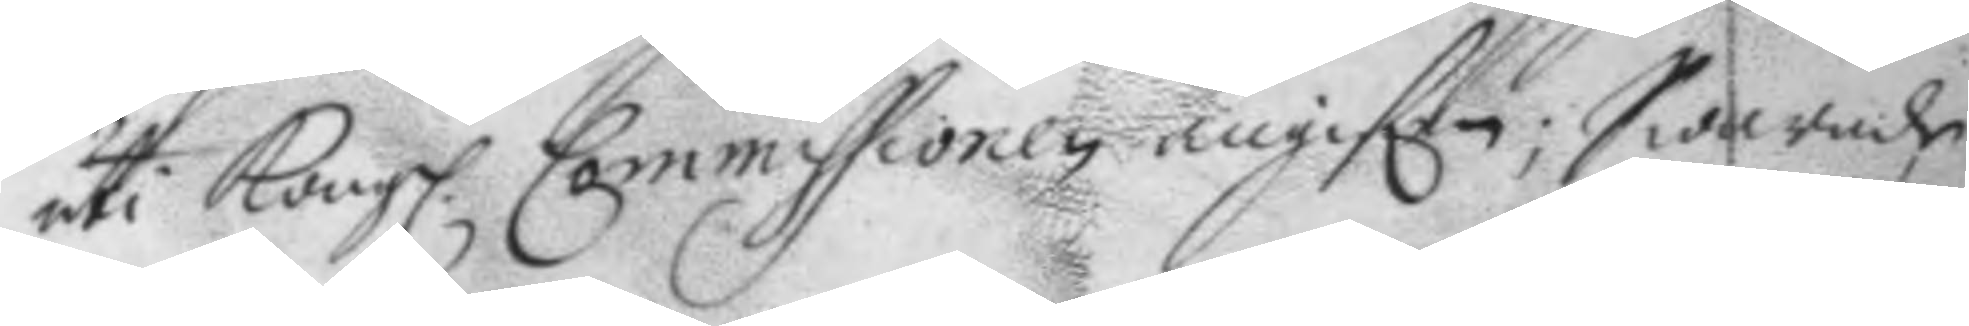uti Kongl. Commissionen angifen; Swarade
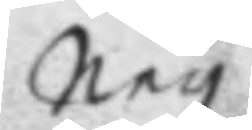Ney.
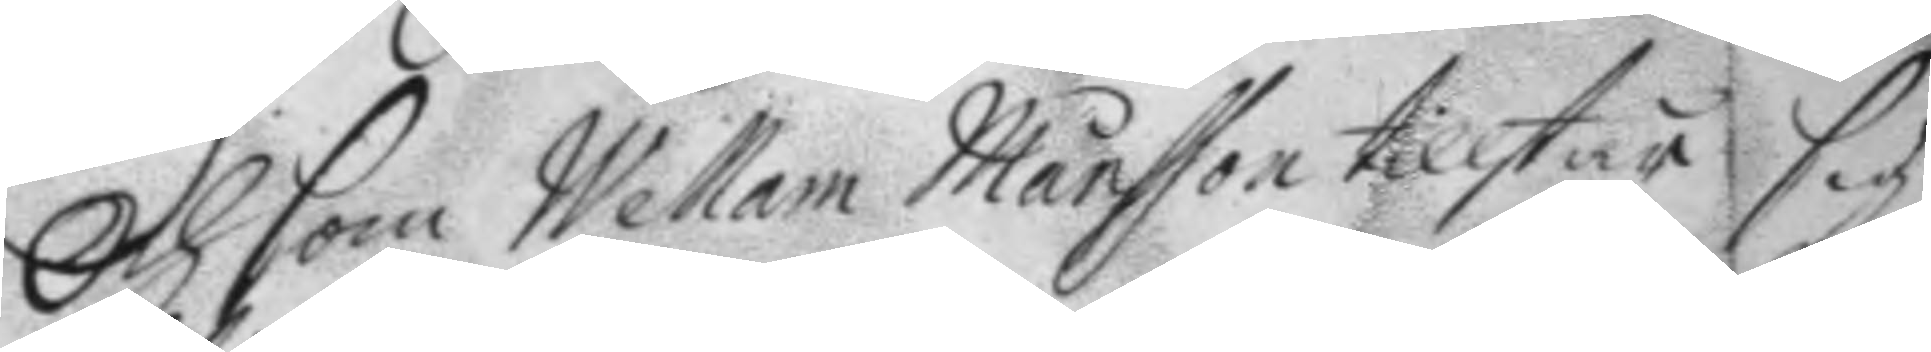Och som Wellam Månsson tillstår sig
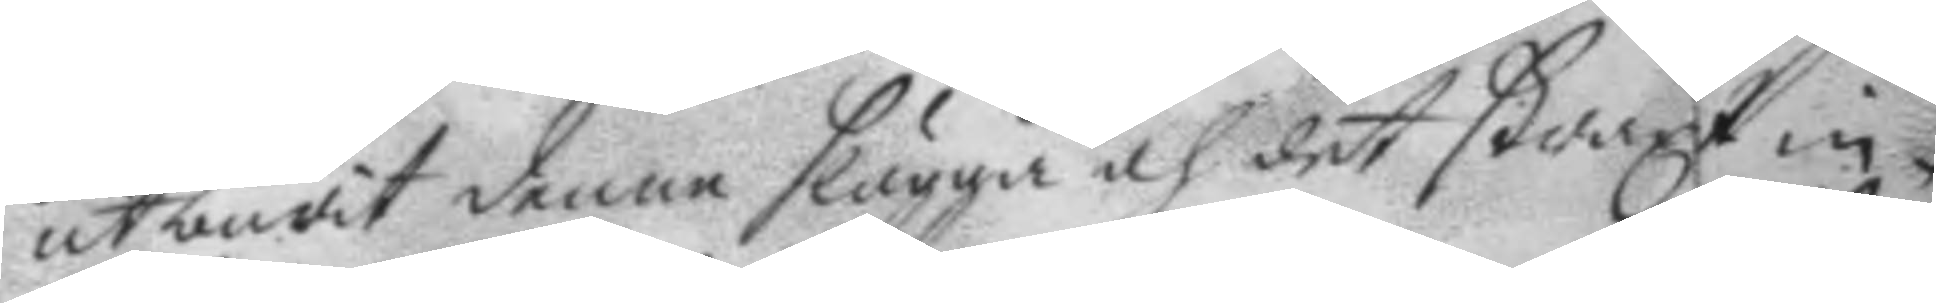utbudit denne slägga och det straxt in¬
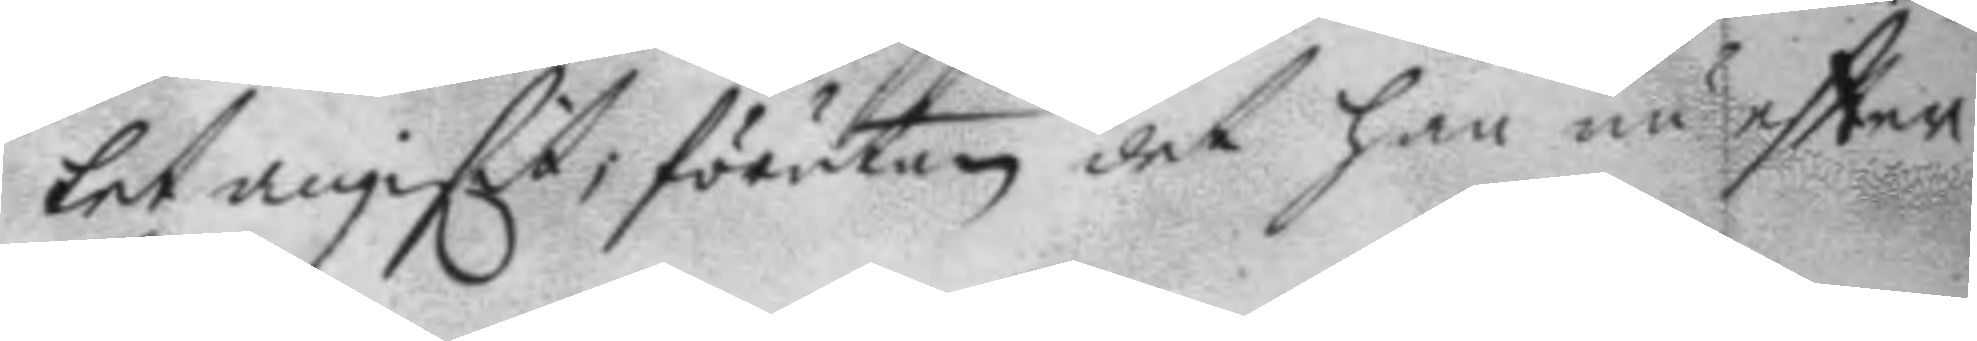tet angifit; förutan det han nu eftter
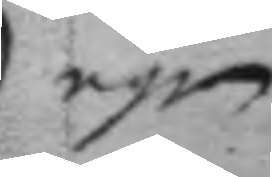egen
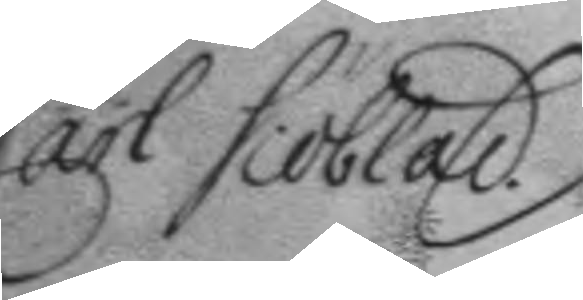Carl Siöblad
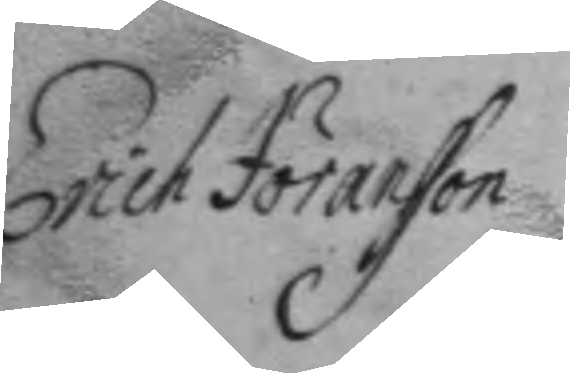Erich Jöransson
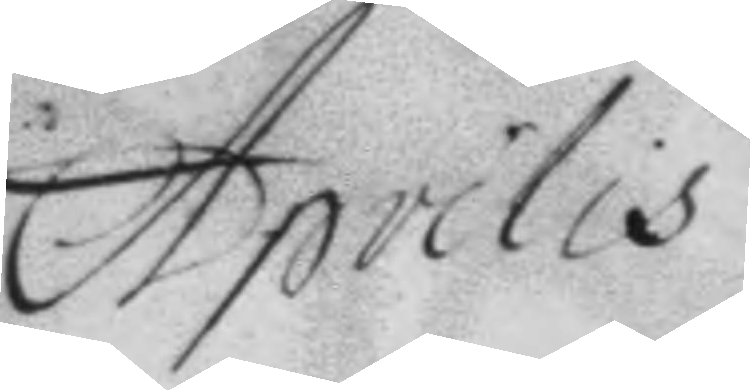Aprilis
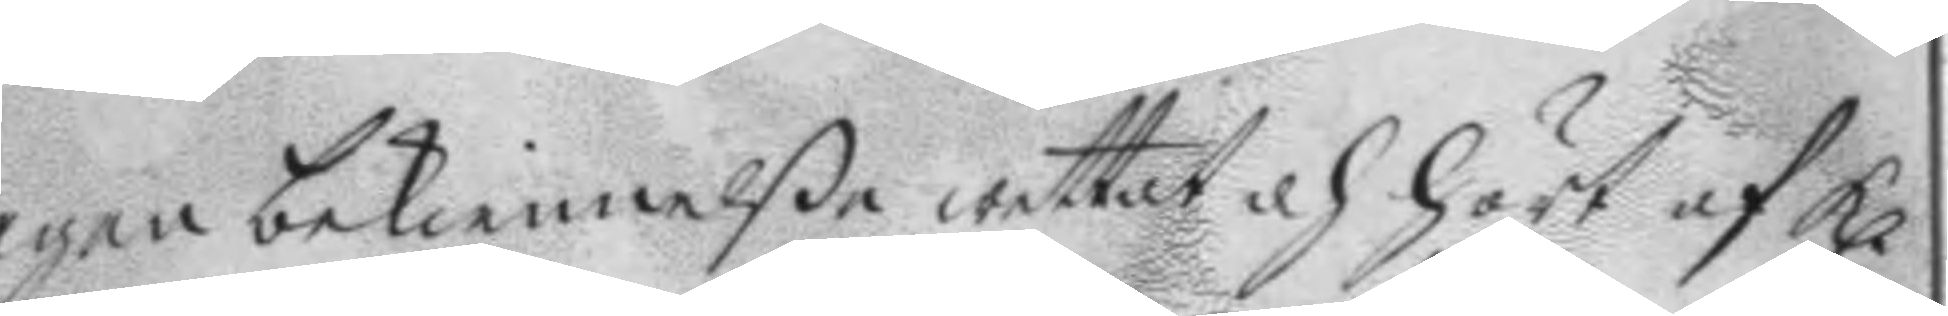egen bekiennelße wettat och hört af Kl. 
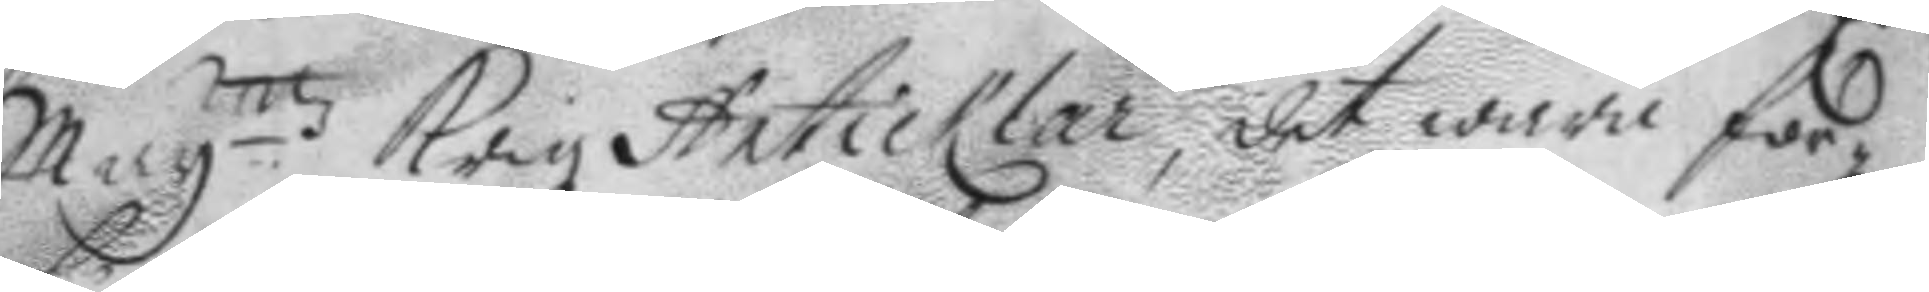May.ttz Krigz Articklar, det wara för¬
